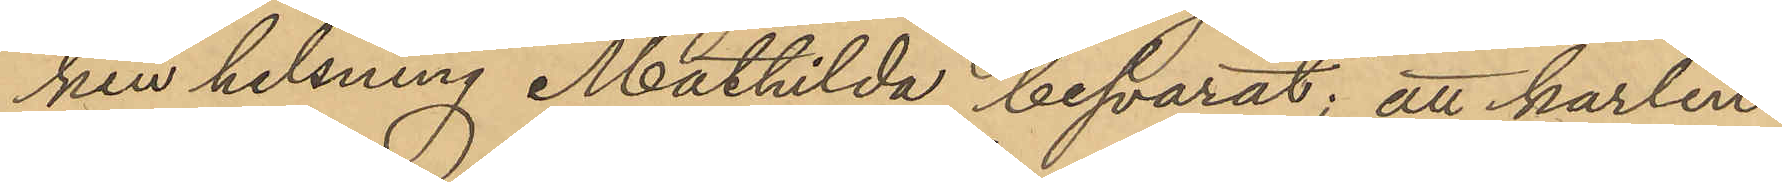ken helsning Mathilda besvarat; att karlen
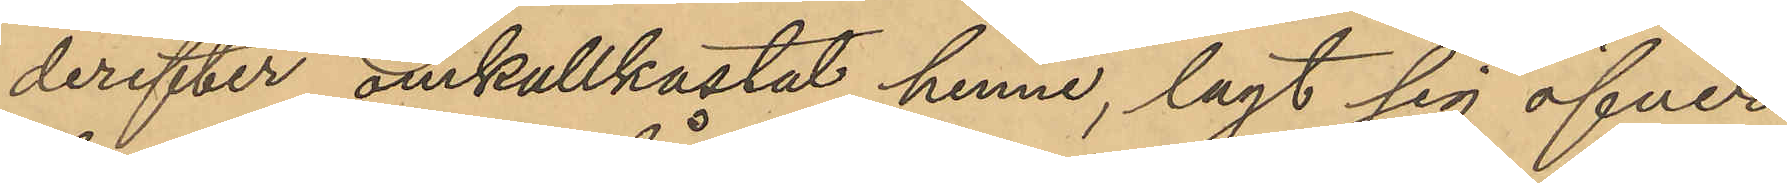derefter omkullkastat henne, lagt sig öfver
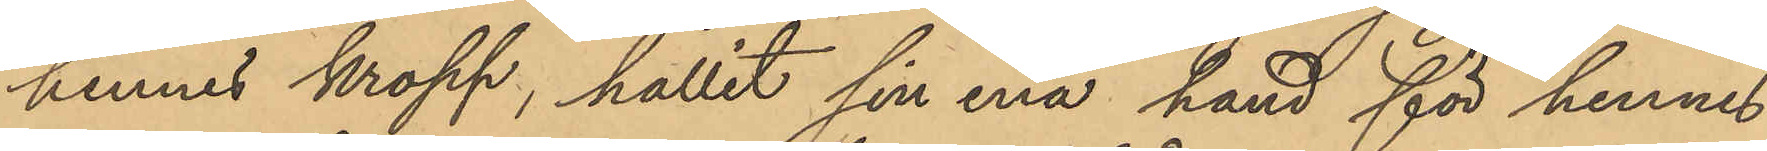hennes kropp, hållit sin ena hand för hennes
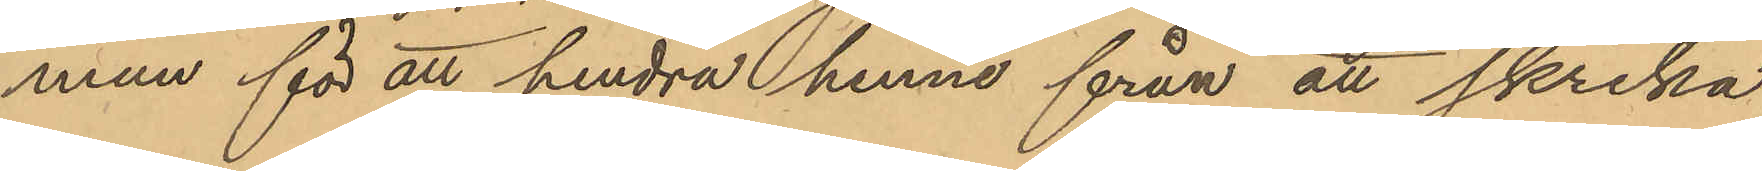mun för att hindra henne från att skrika,
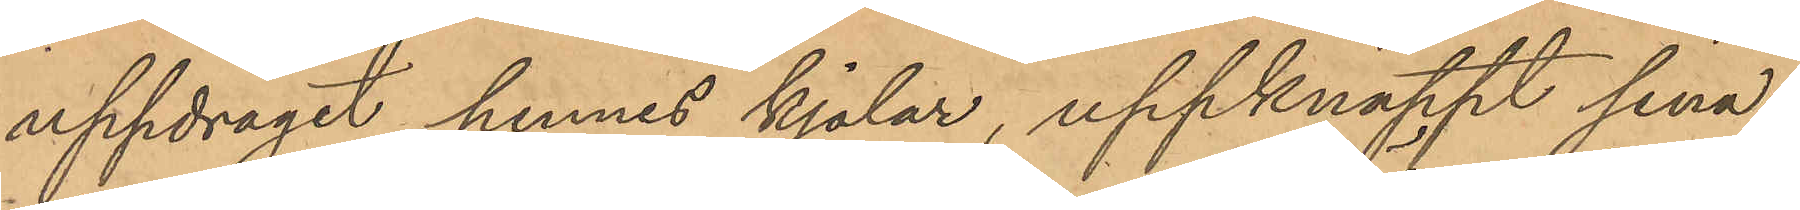uppdragit hennes kjolar, uppknäppt sina
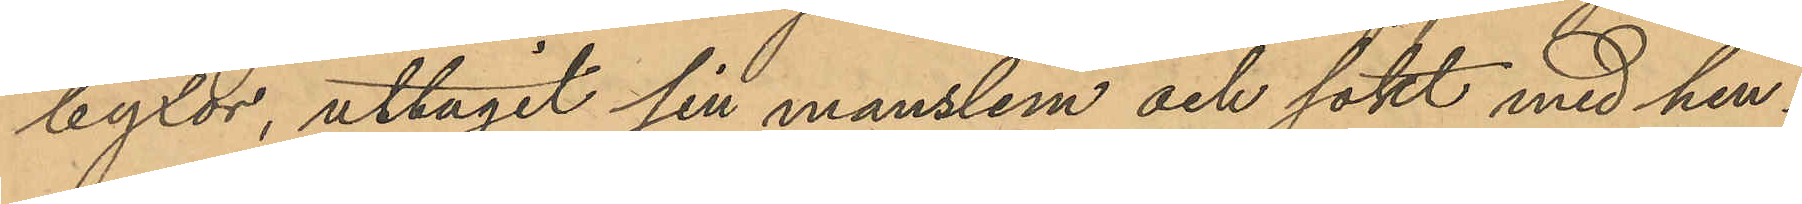byxor, uttagit sin manslem och sökt med hen¬
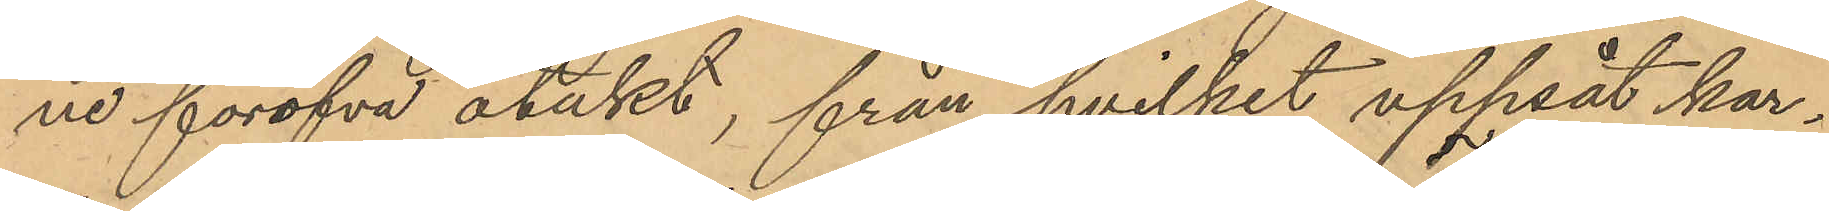ne föröfva otukt, från hvilket uppsåt kar¬
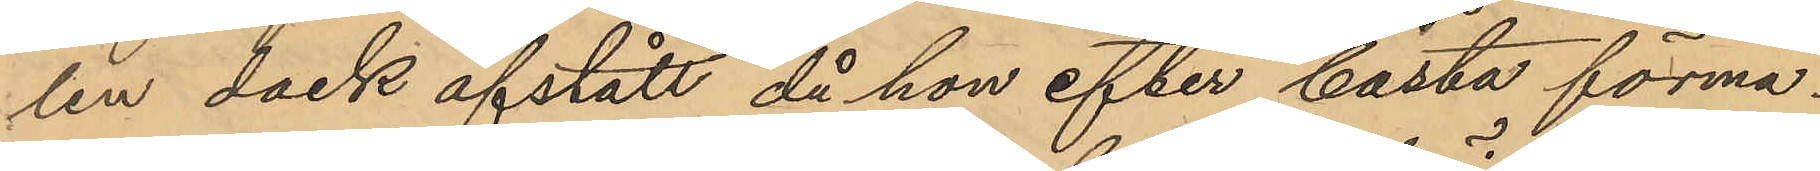len dock afstått då hon efter bästa förmå¬
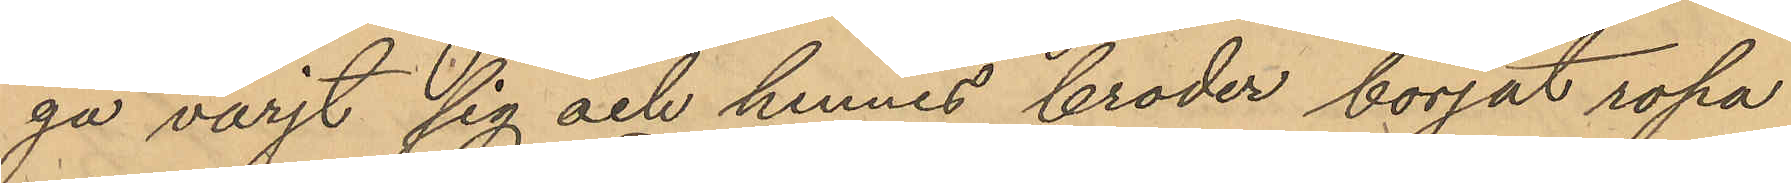ga värjt sig och hennes broder börjat ropa
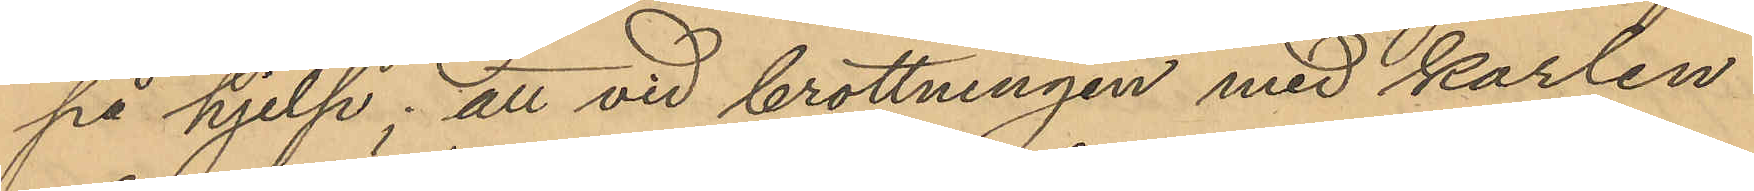på hjelp; att vid brottningen med karlen
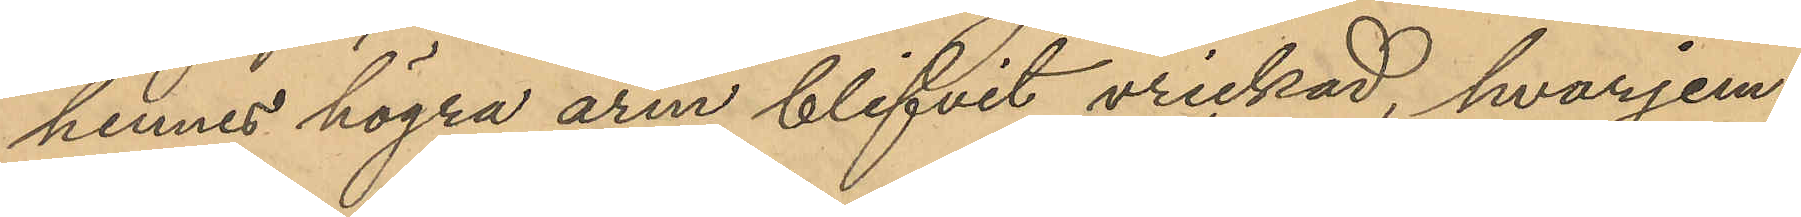hennes högra arm blifvit vrickad, hvarjem¬
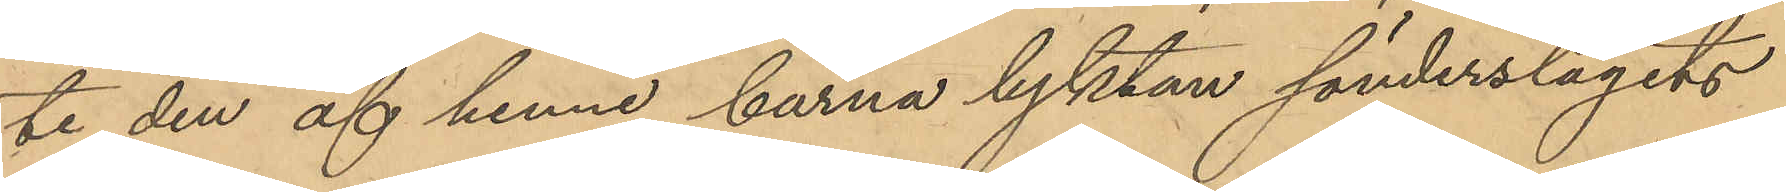te den af henne burna lyktan sönderslagits
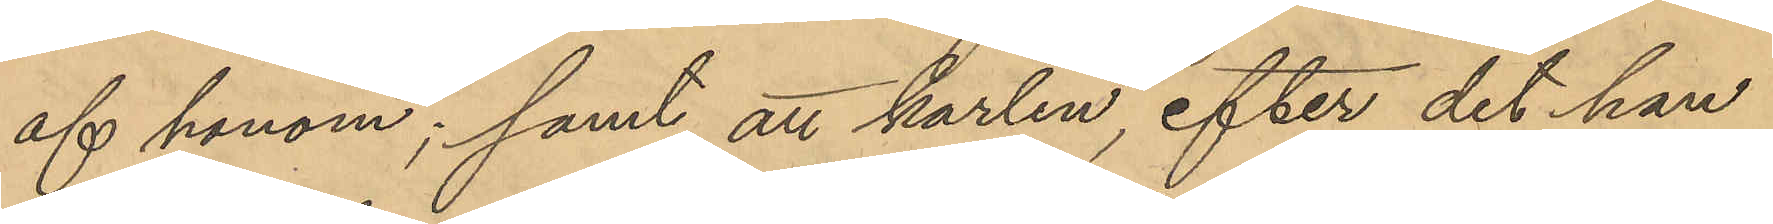af honom; samt att karlen, efter det han
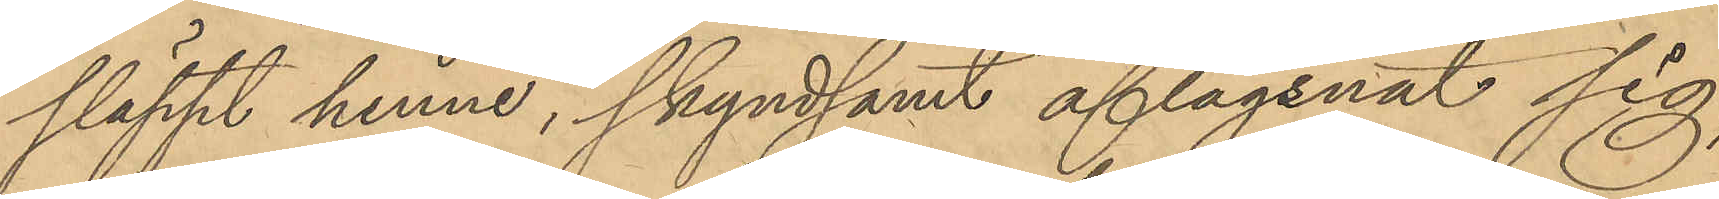släppt henne, skyndsamt aflägsnat sig,
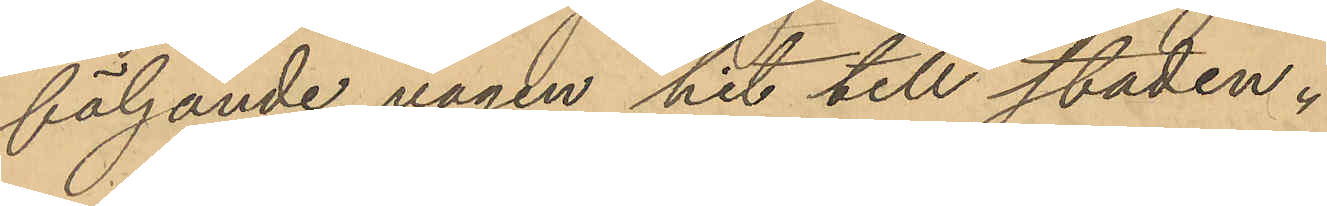följande vägen hit till staden.
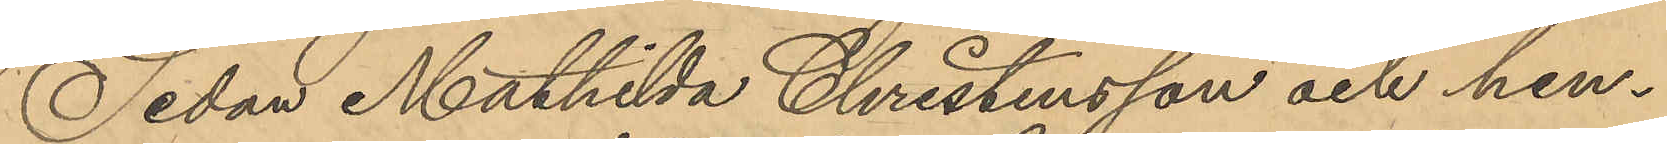Sedan Mathilda Christensson och hen¬
